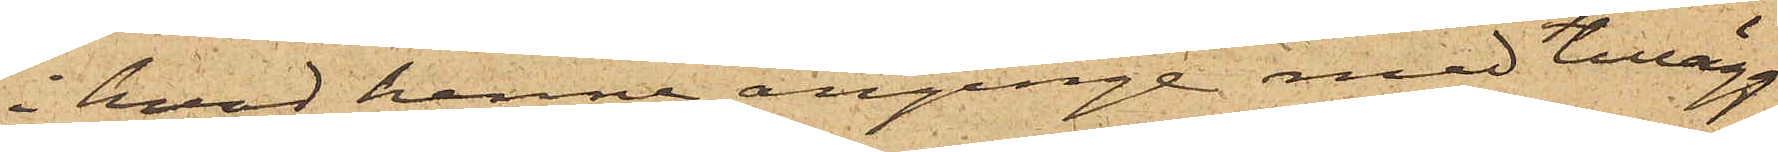i hvad henne anginge med tillägg
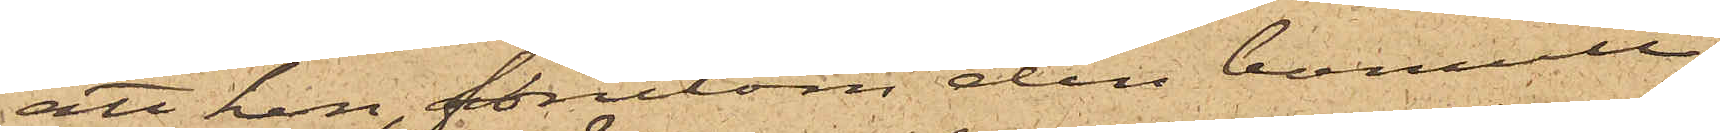att hon, förutom den bomull
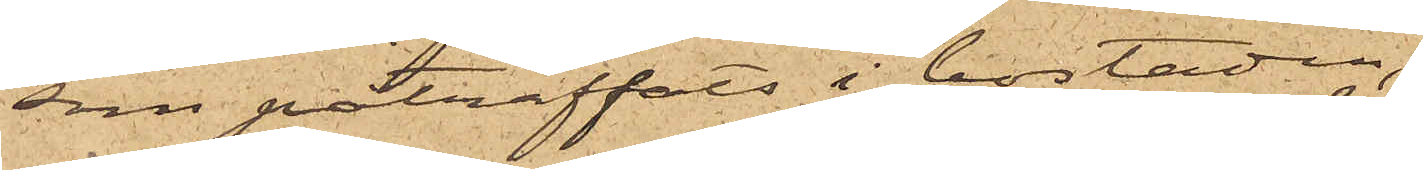som påträffats i bostaden,
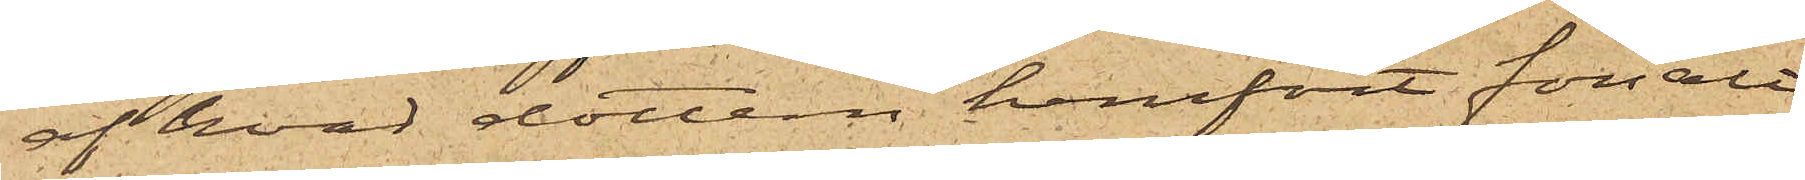af hvad dottern hemfört försålt
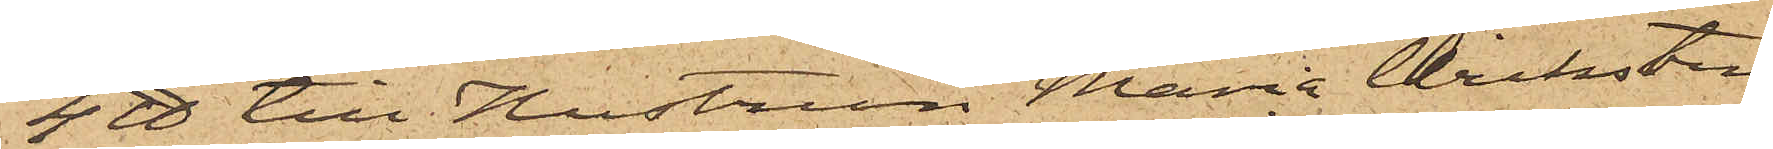4 ℔ till Hustrun Maria Wicksten
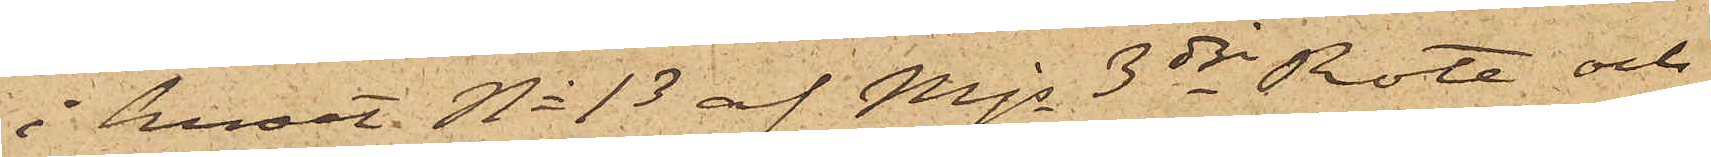i huset No 13 af Mjs 3dje Rote och
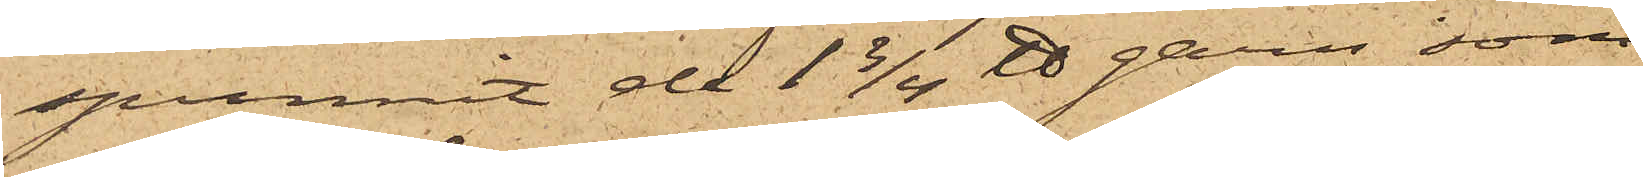spunnit de 1 3/4 ℔ garn, som
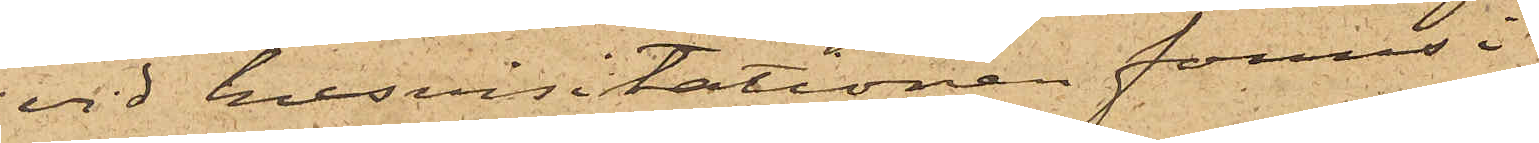vid husvisitationen fanns i
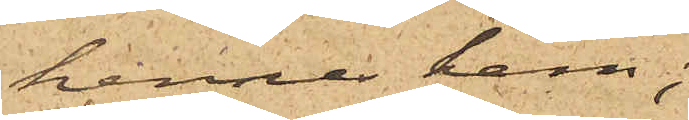hennes hem;
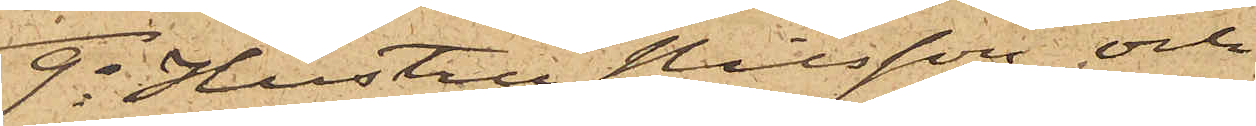9o Hustru Nilsson och
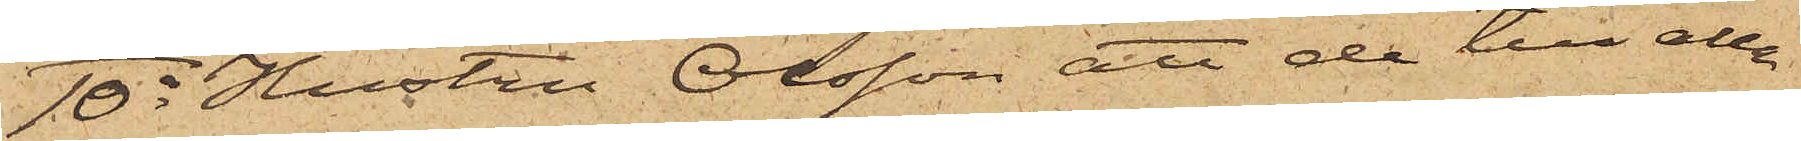10o Hustru Olsson, att de till alla
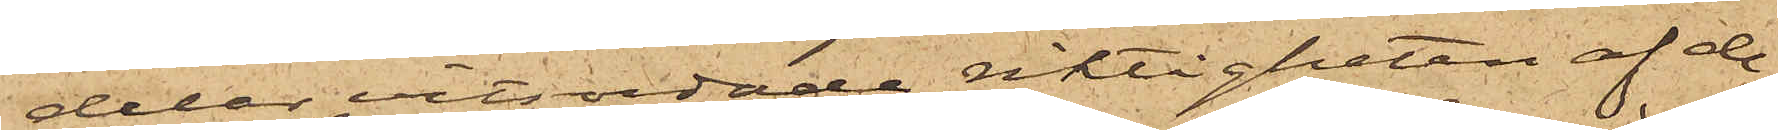delar vitsordade riktigheten af de¬
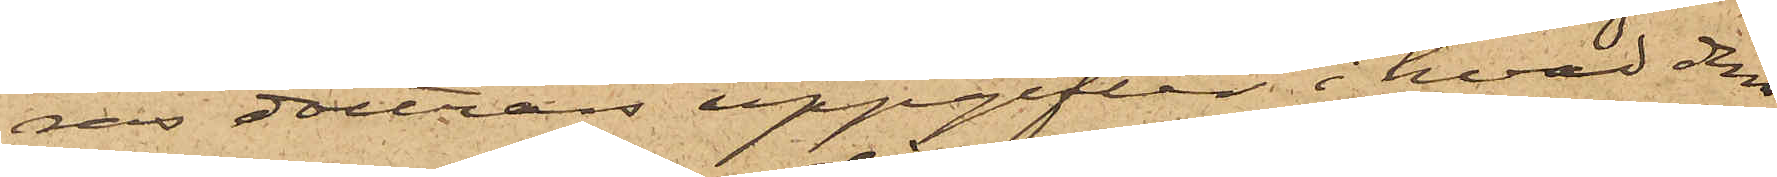ras döttrars uppgifter i hvad dem
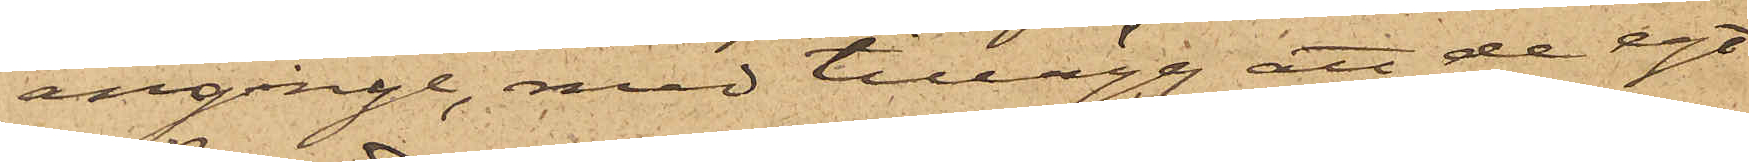anginge, med tillägg att de egt
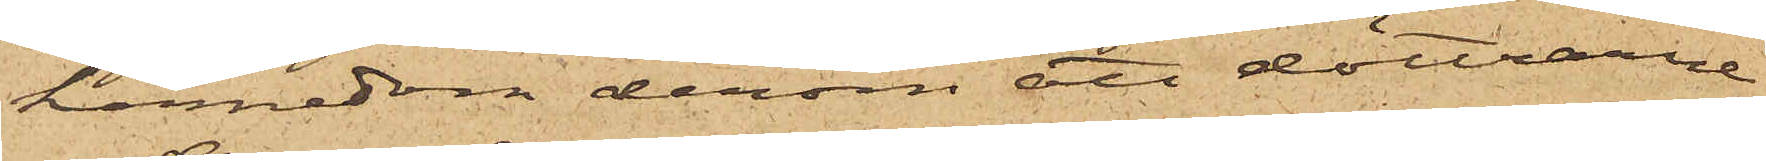kännedom derom att döttrarne
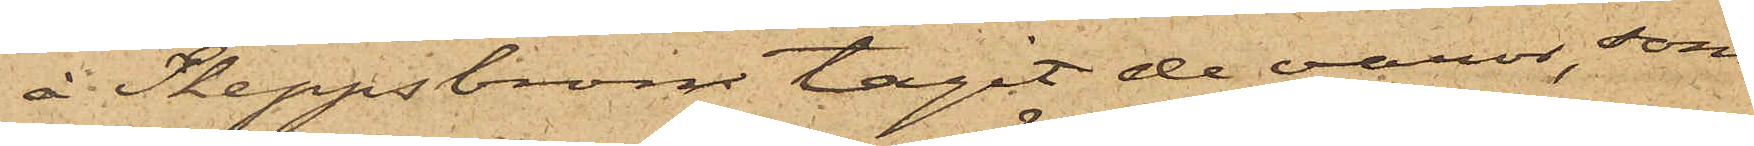å Skeppsbron tagit de varor, som
